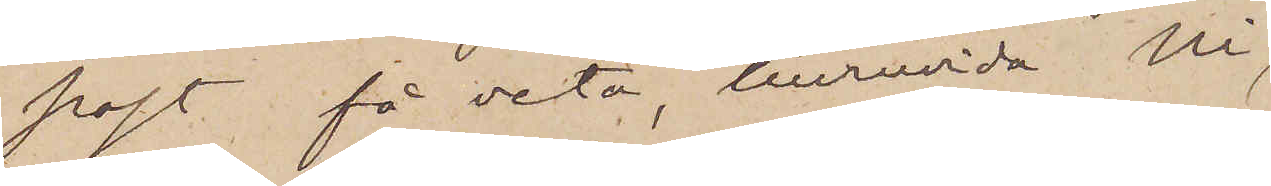post få veta, huruvida Ni
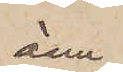ännu
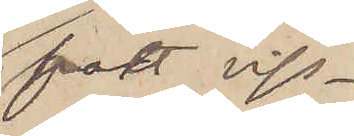fått viss¬
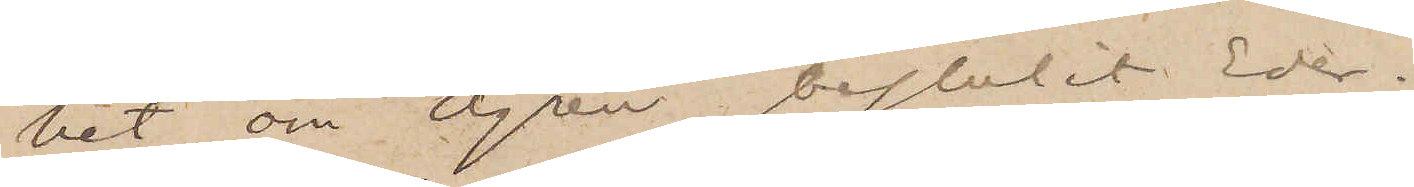het om Ågren bestulit Eder.
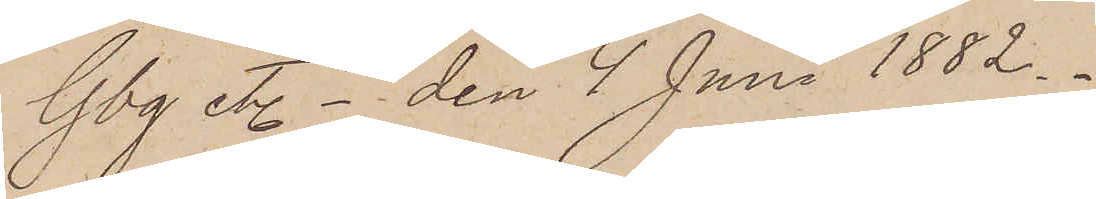Gbg etc den 4 Juni 1882.
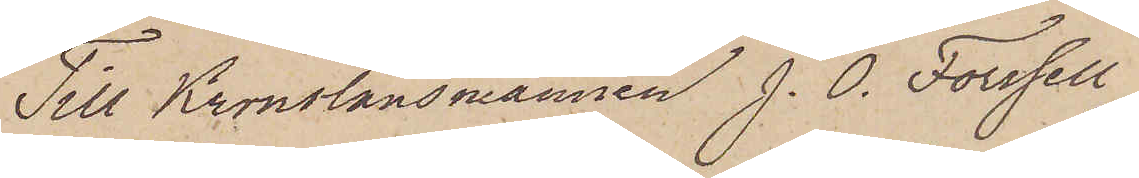Till Kronolänsmannen J. O. Forssell
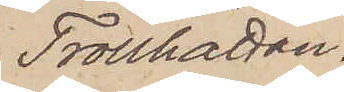Trollhättan.
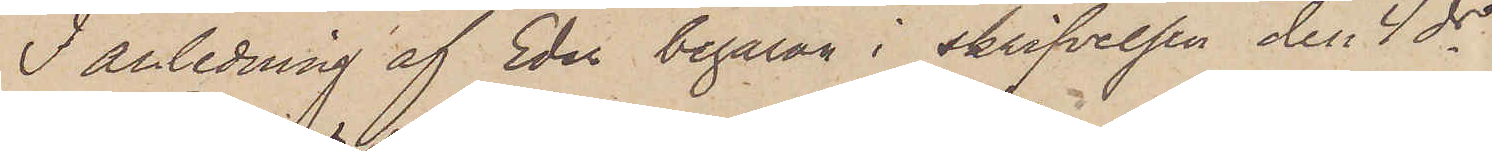I anledning af Eder begäran i skrifvelsen den 4 ds
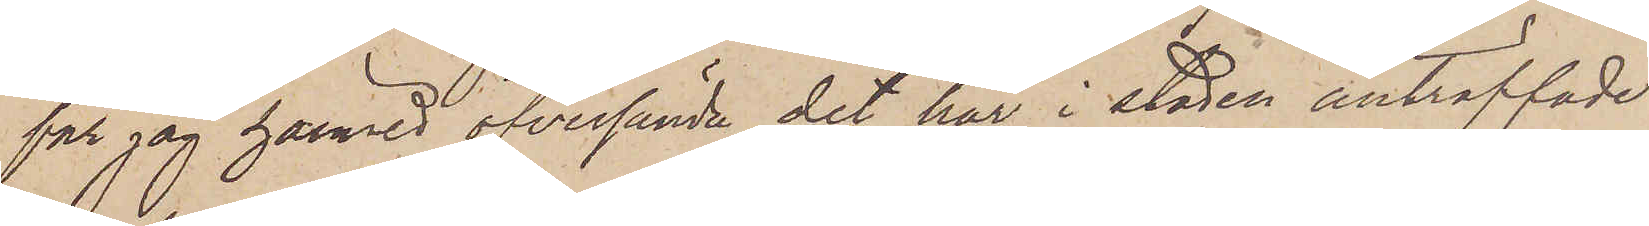får jag härmed öfversände det här i staden anträffade
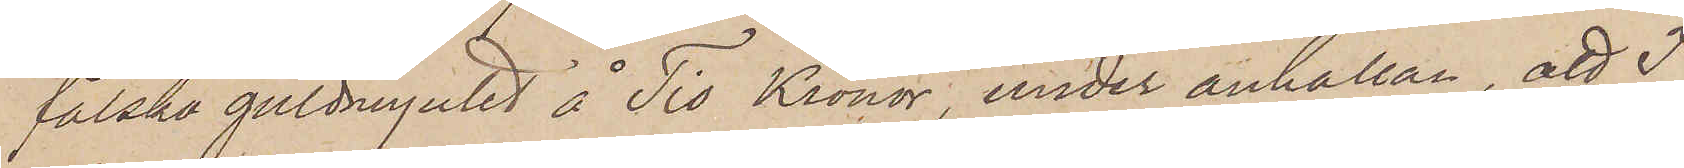falska guldmyntet å Tio Kronor, under anhållan, att I
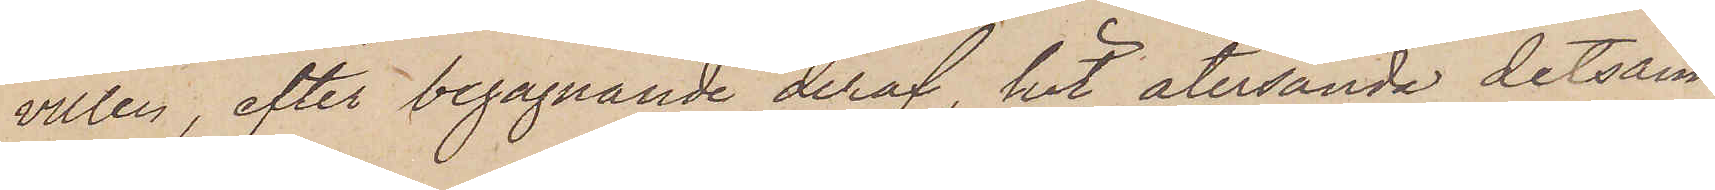villen, efter begagnande deraf, hit återsända detsam¬
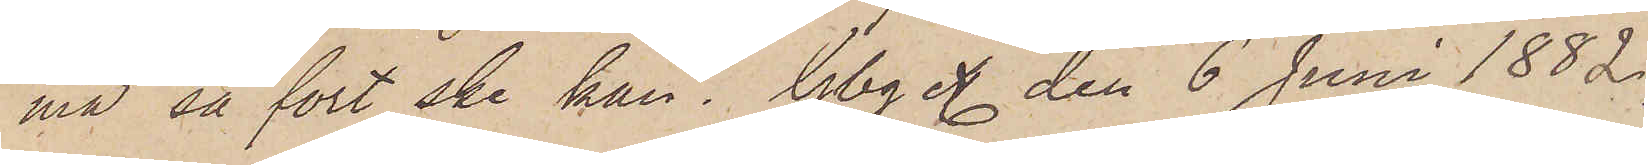ma så fort ske kan. Gbg etc den 6 Juni 1882.
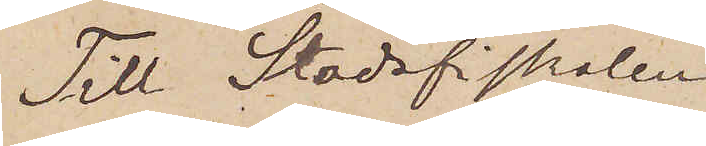Till Stadsfiskalen
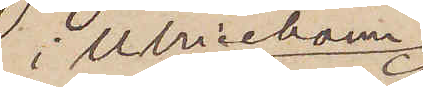i Ulricehamn
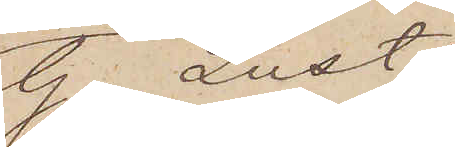G. Lustig
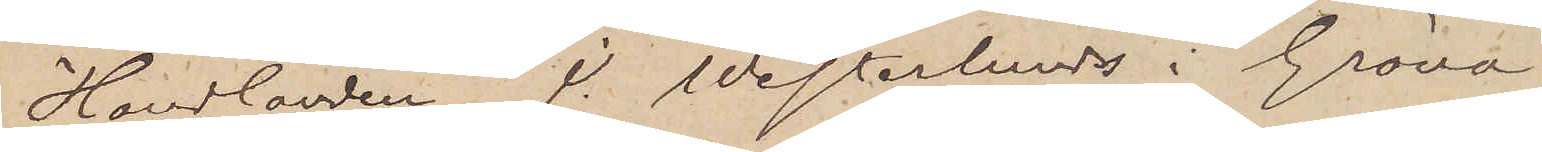Handlanden J. Westerlunds i Gröna¬
